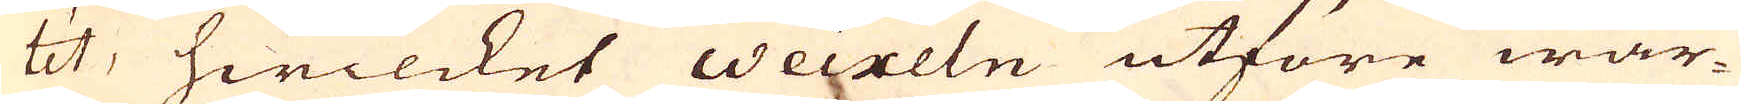téit, hwilcket weixeln utföre war-
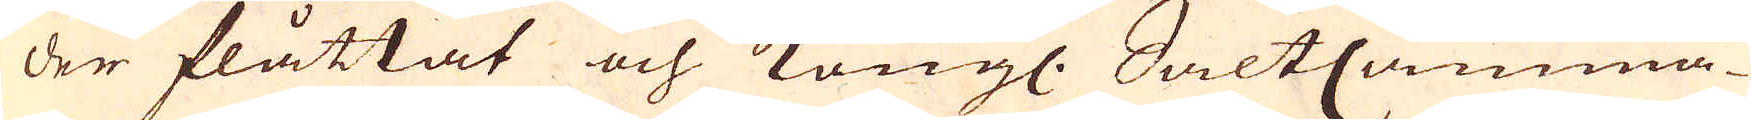der flåttat och Kongl. SaltCamma-
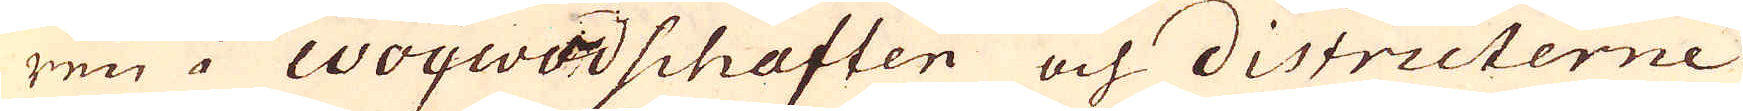ren i Woywodschaften och districterne
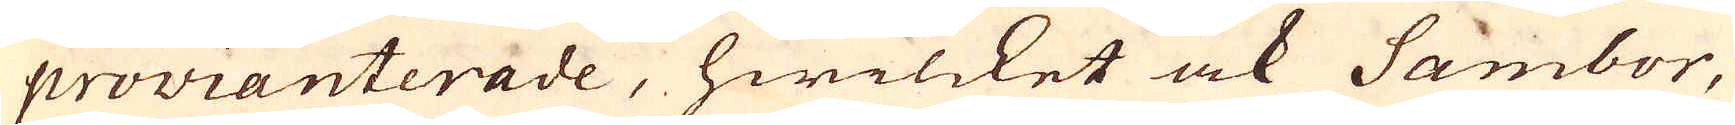provianterade, hwilcket ock Sambor,
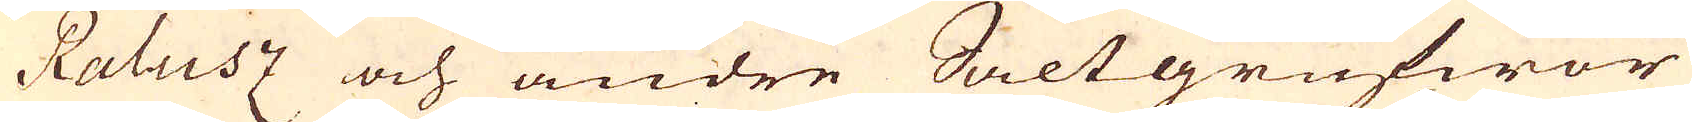Ralusz och andre Saltgrufwor
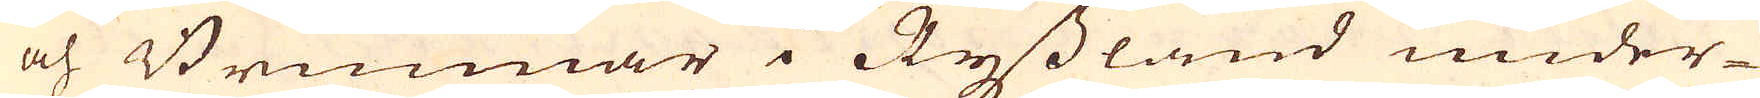och Brunnar i Ryssland under-
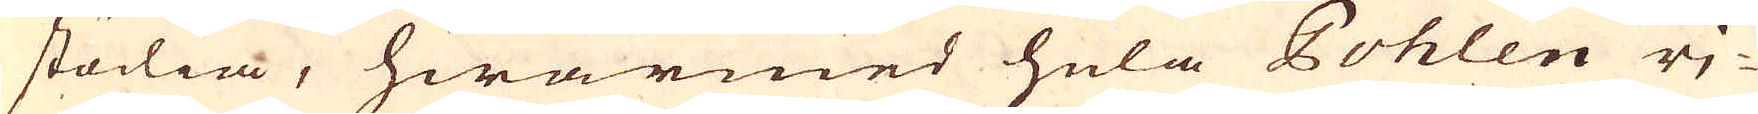stödia, hwarmed hela Pohlen rj-
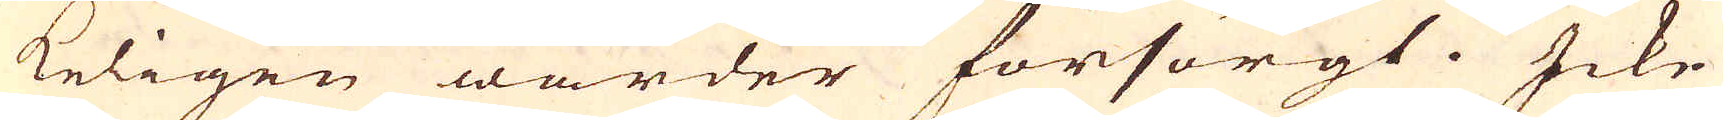keligen warder försörgt. Icke-
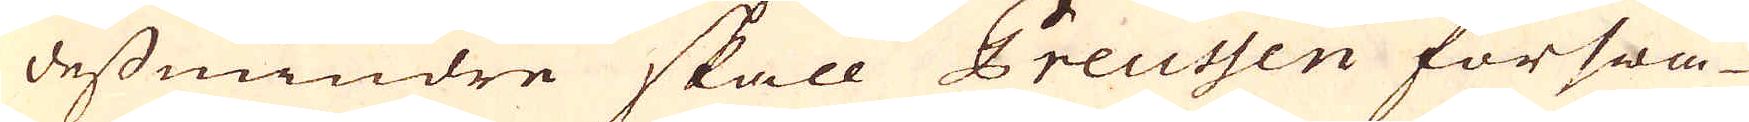dessmindre skall Preussen förswa-
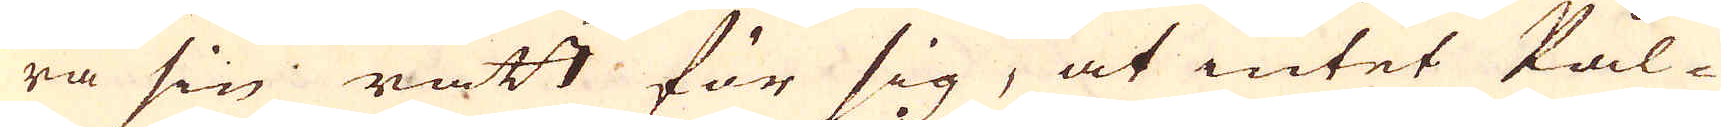ra sin rätt för sig, at intet Pål-
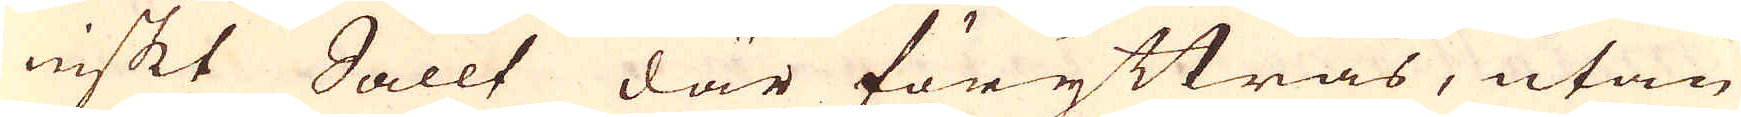niskt Sallt där föryttras, utan
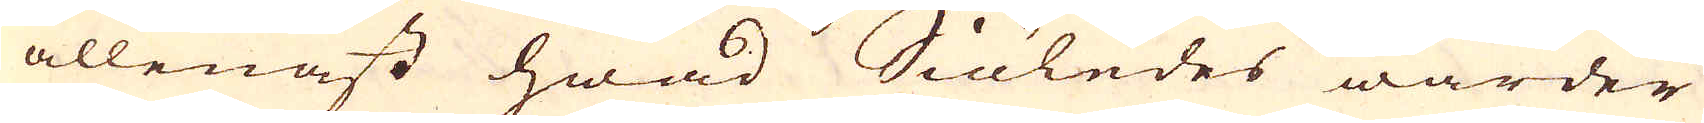allenast hwad Siöledes warder
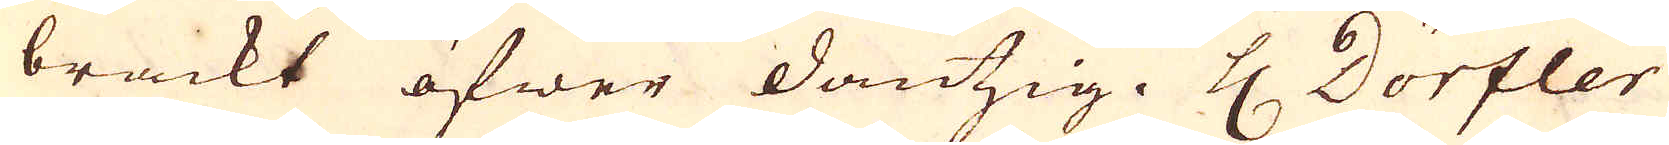brackt öfwer dantzig. H. Dörfler
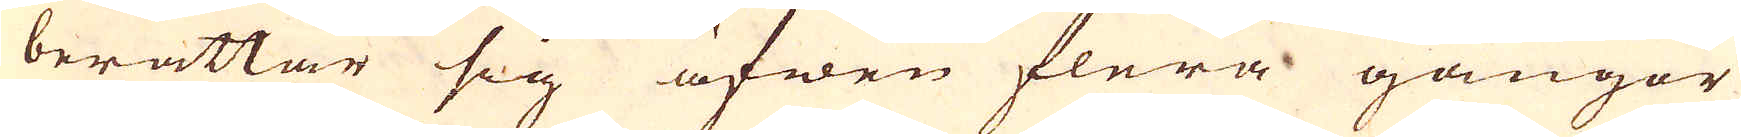berättar sig äfwen flera gångor
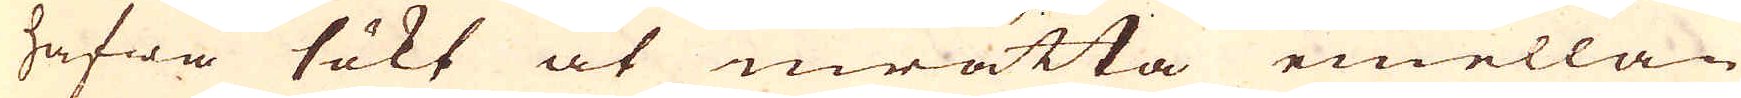hafwa sökt at inrätta emellan
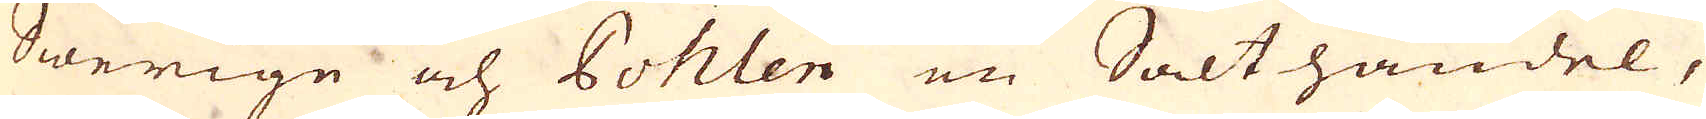Swerige och Pohlen en Salthandel,
